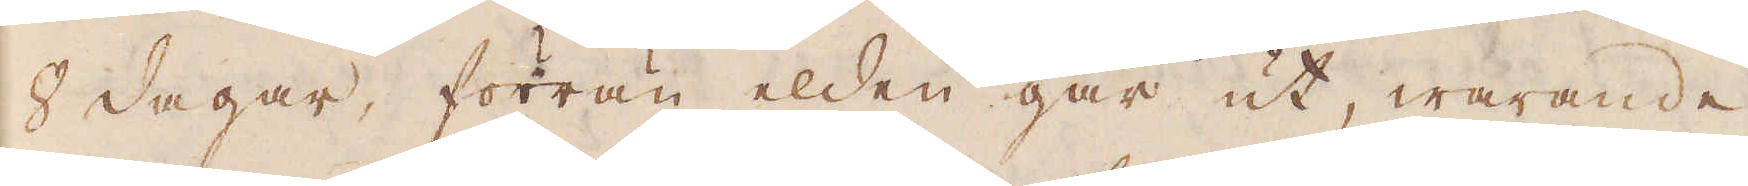8 dagar, förrän elden går ut, warande
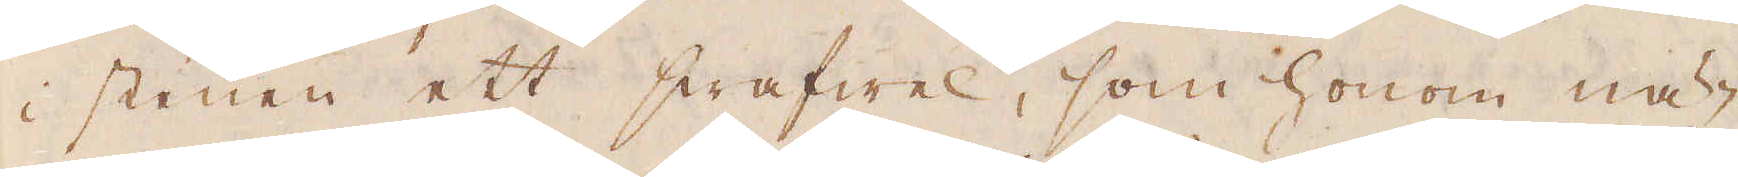i stenen ett swafwel, som honom nä-
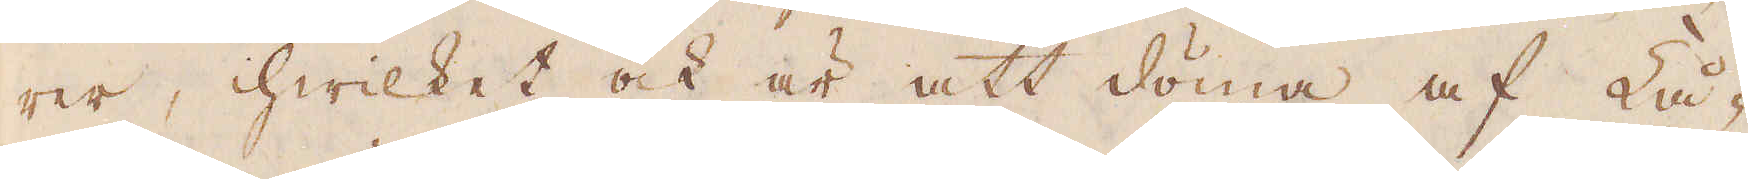rer, hwilket ock är att döma af Lå-
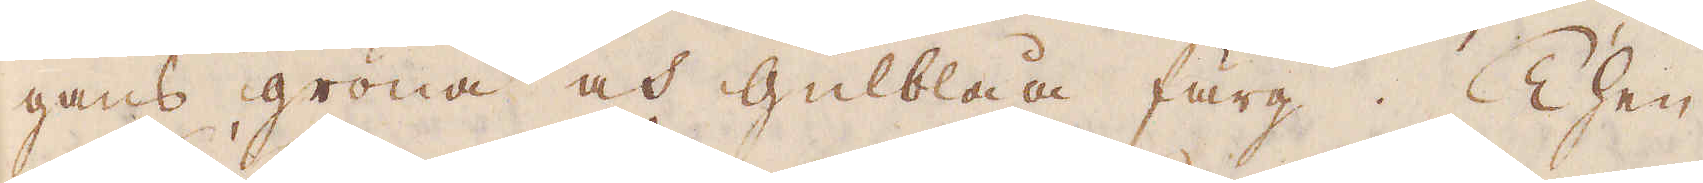gans gröna och Gulblåa färg. Then
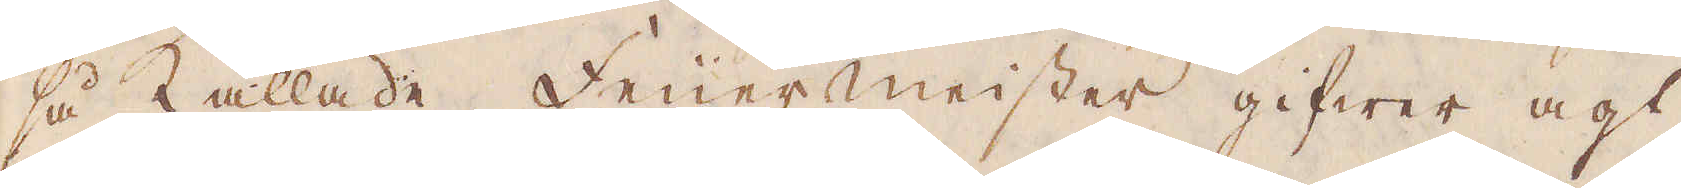så kallade Feuermeister gifwer agt
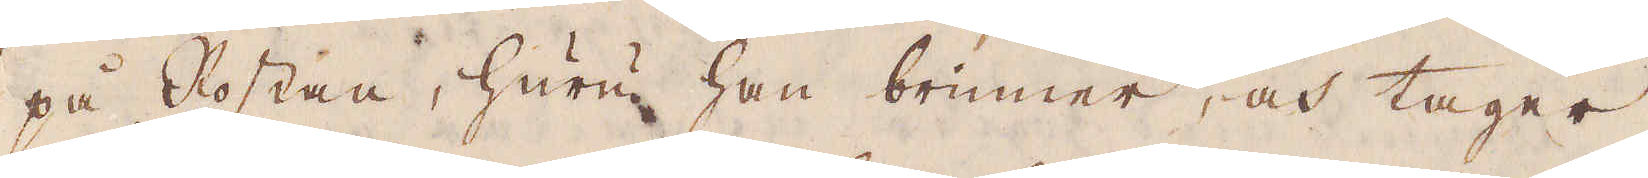på Rostan, huru han brinner, och tager
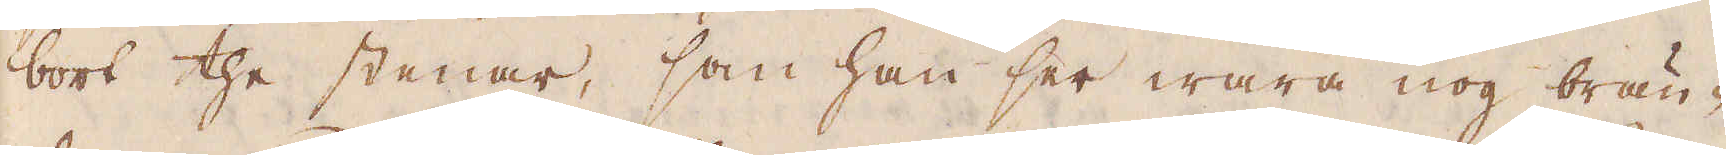bort the stenar, som han ser wara nog brän-
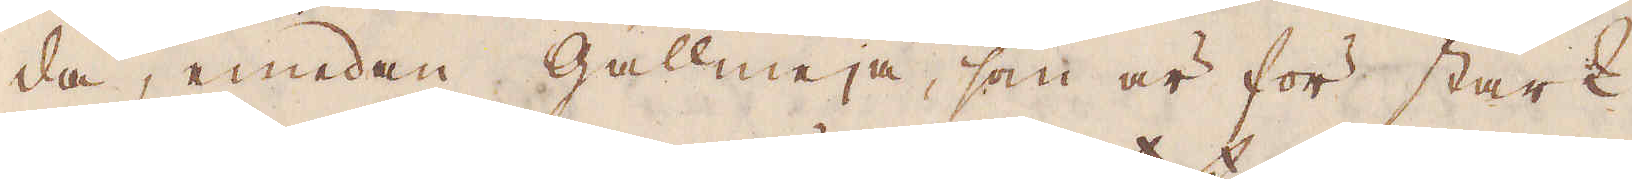da, emedan gallmeja, som är för stark
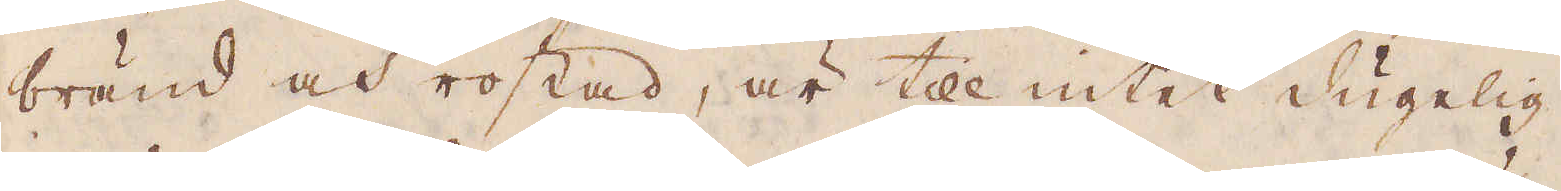bränd och rostad, är till intet dugelig.
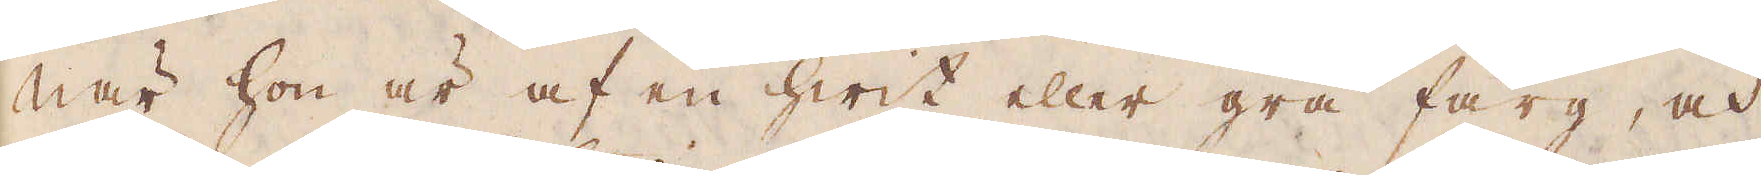När hon är af en hwit eller grå färg, och
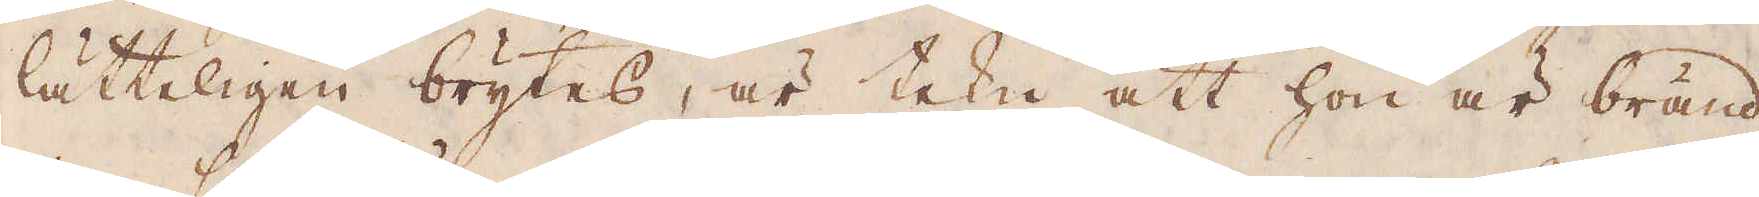lätteligen brytes, är tekn att hon är bränd
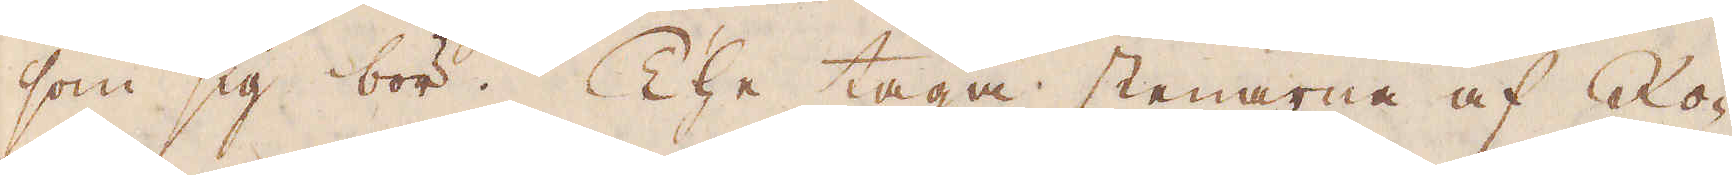som sig bör. The taga stenarna af Ro-
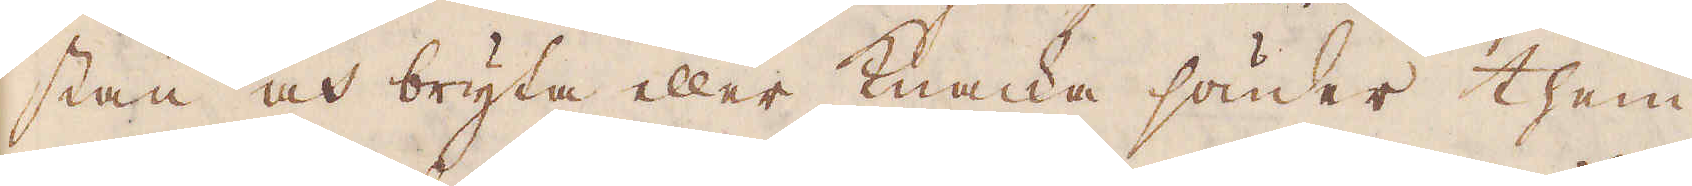stan och bryta eller knacka sönder them
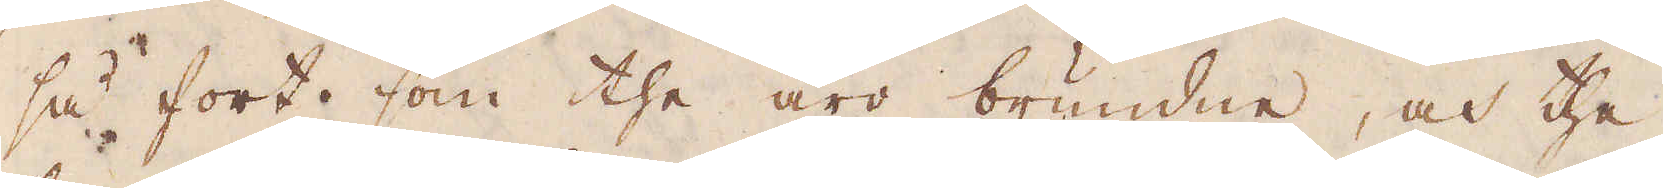så fort som the äro brundne, och the,
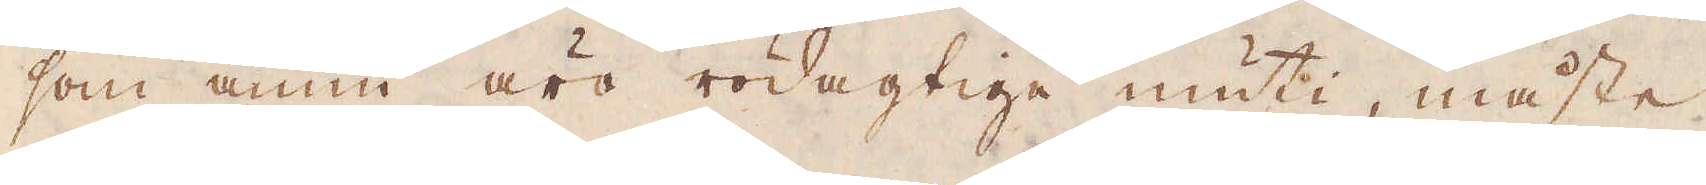som ännu äro rödagtige inuti, måste
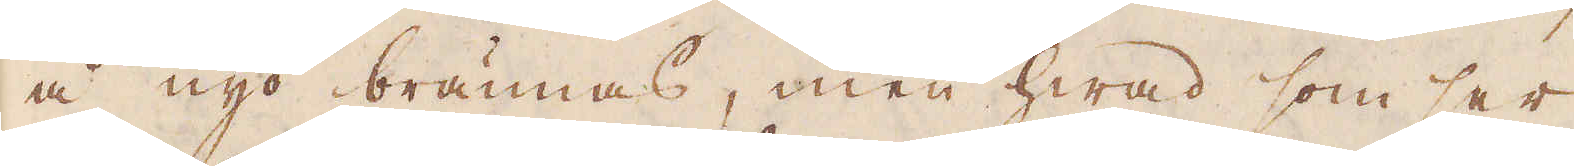å nyo brännas, men hwad som ser
